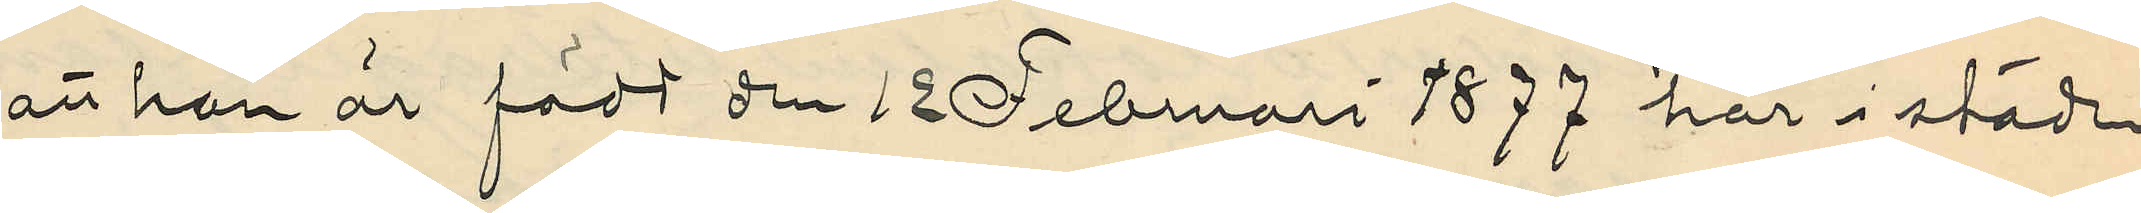att han är född den 12 Februari 1877 här i städen
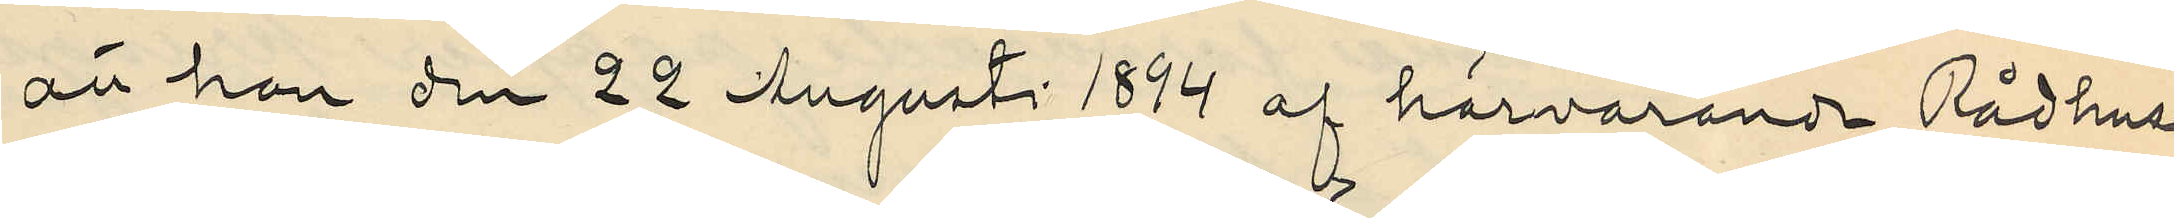att han den 22 Augusti 1874 af härvarande Rådhus¬
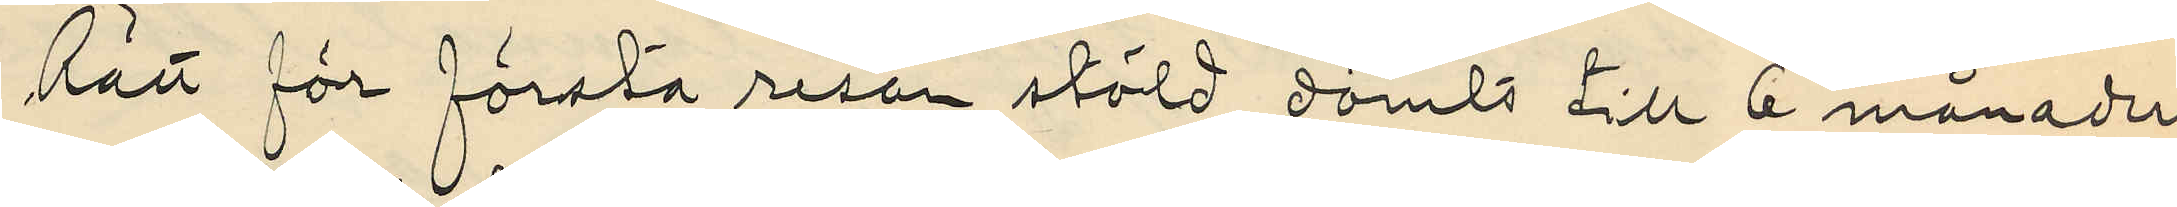Rätt för första resan stöld dömts till 6 månaders
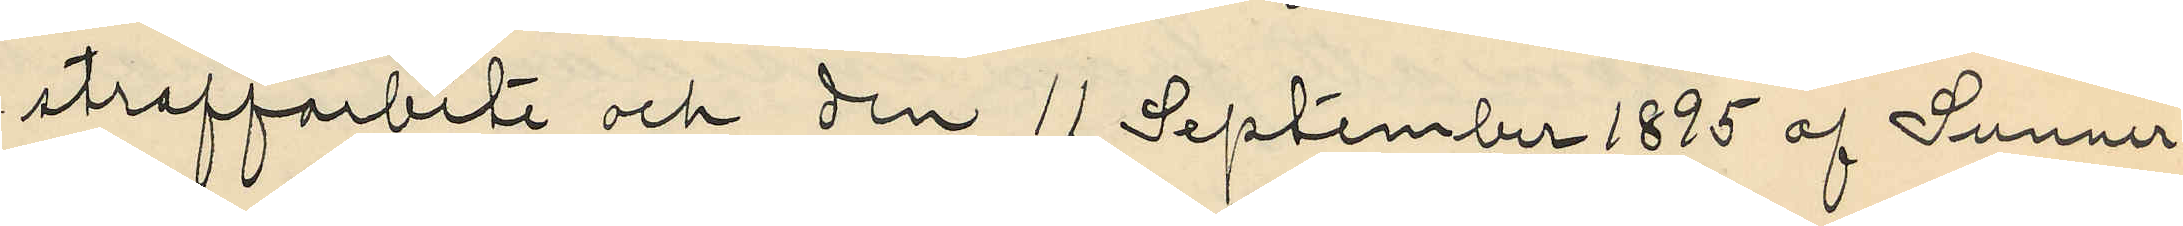straffarbete och den 11 September 1895 af Sunner¬
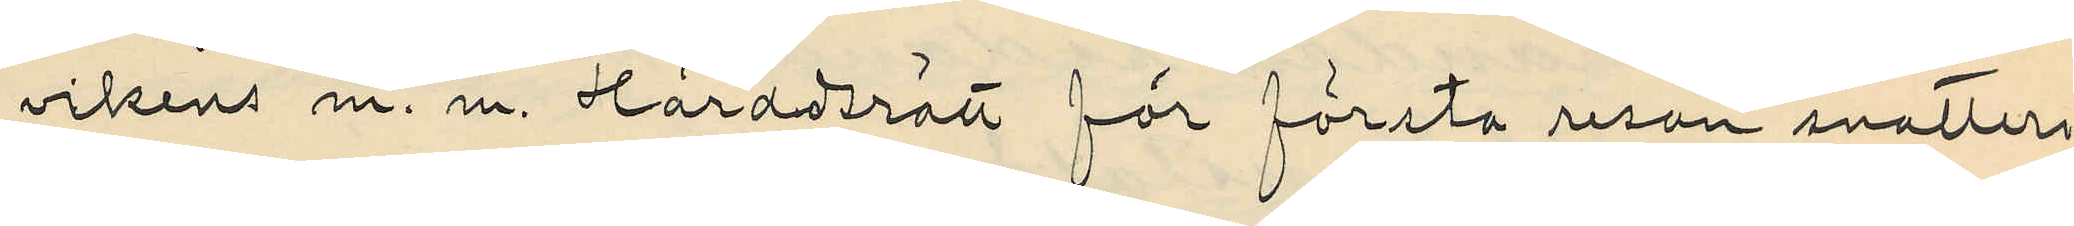vikens m. m. Häradsrätt för första resan snatteri
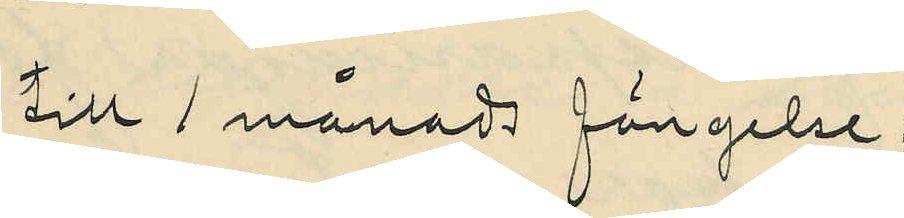till 1 månads fängelse;
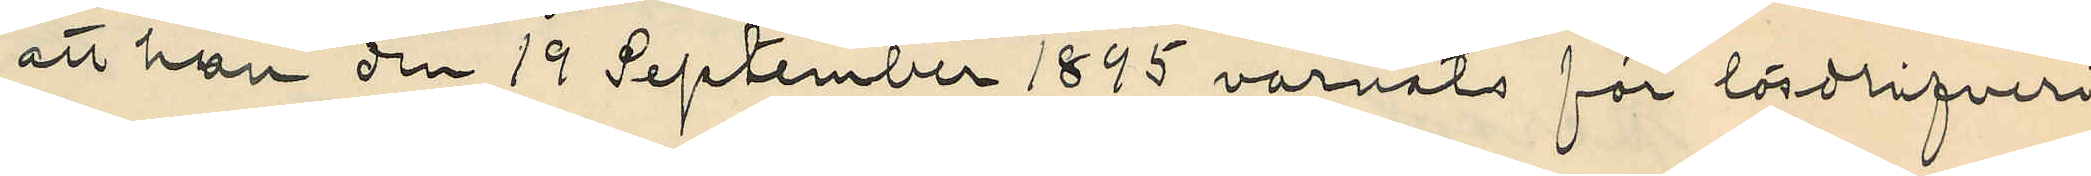att han den 19 September 1895 varnats för lösdrifveri
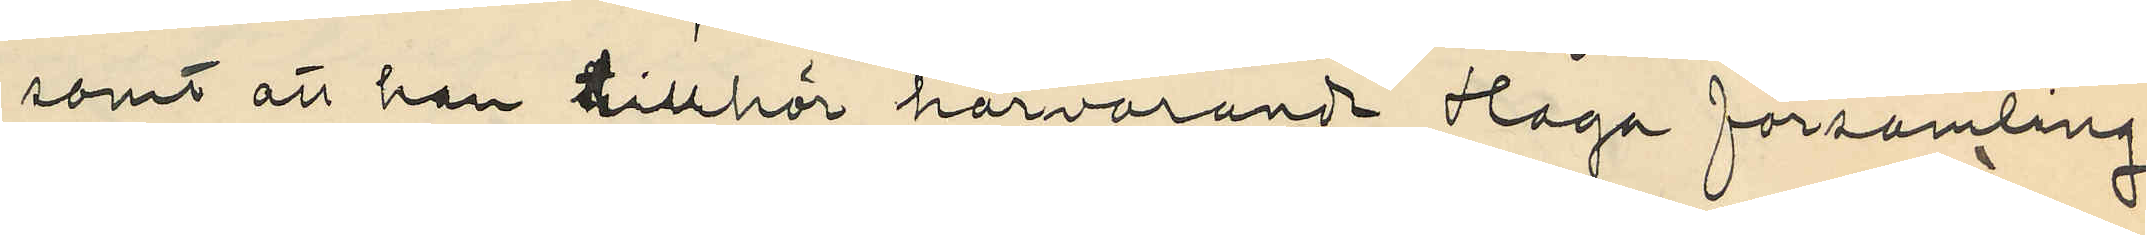samt att han tillhör härvarande Haga församling.
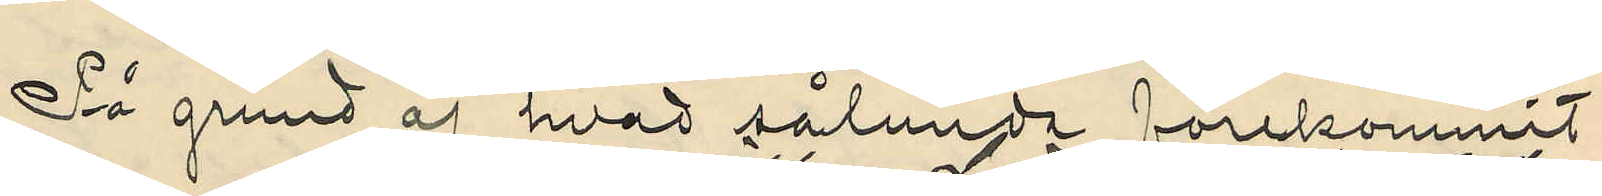På grund af hvad sålunda förekommit
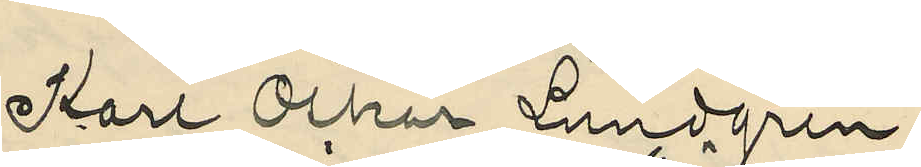Karl Oskar Lundgren
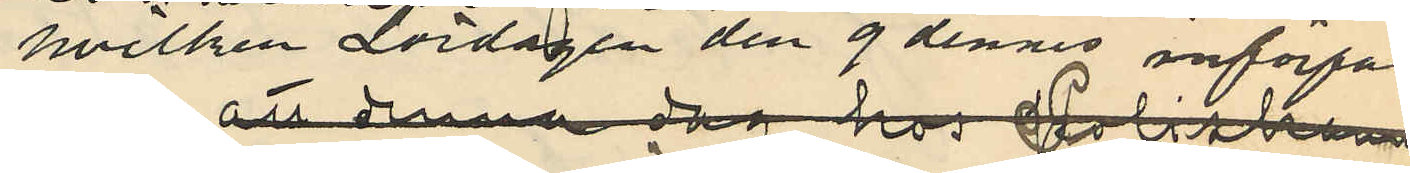hvilken Lördagen den 9 dennes införfa¬
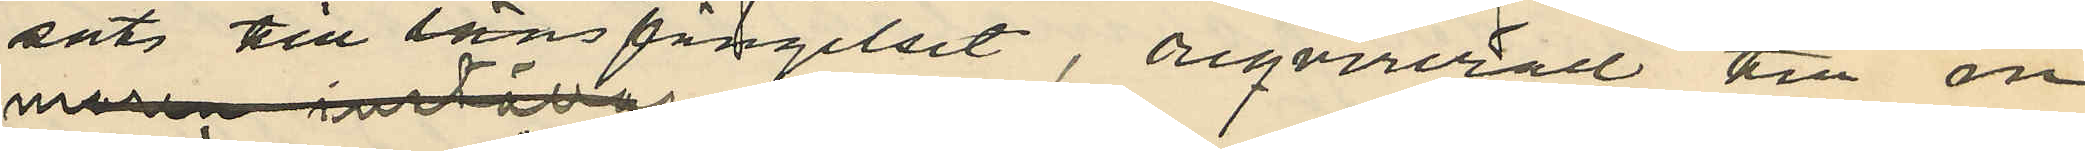sats till länsfängelset , reqvirerall till in¬
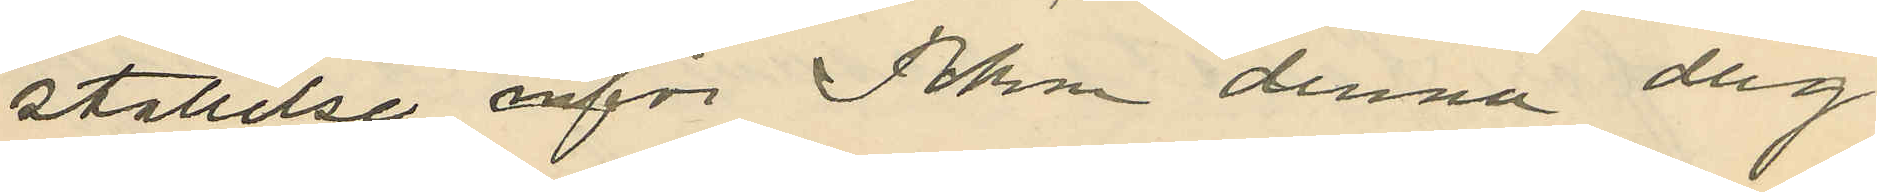ställelse inför Pkn denna dag
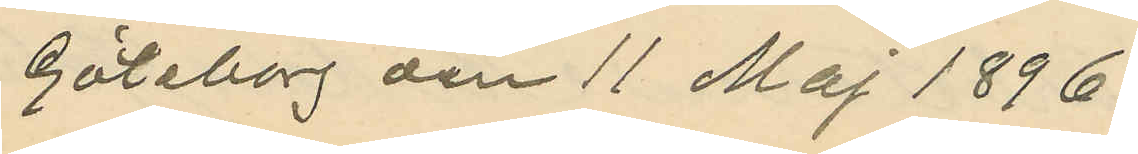Göteborg den 11 Maj 1896.
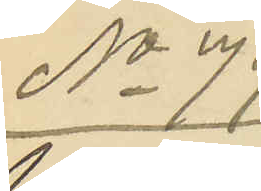No 79
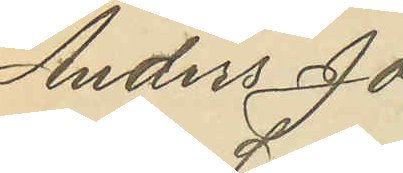Anders Jo¬
